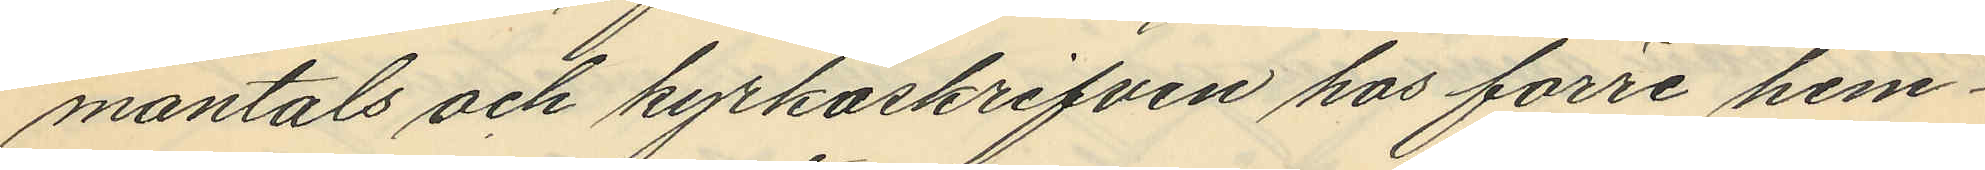mantals och kyrkoskrifven hos förre hem¬
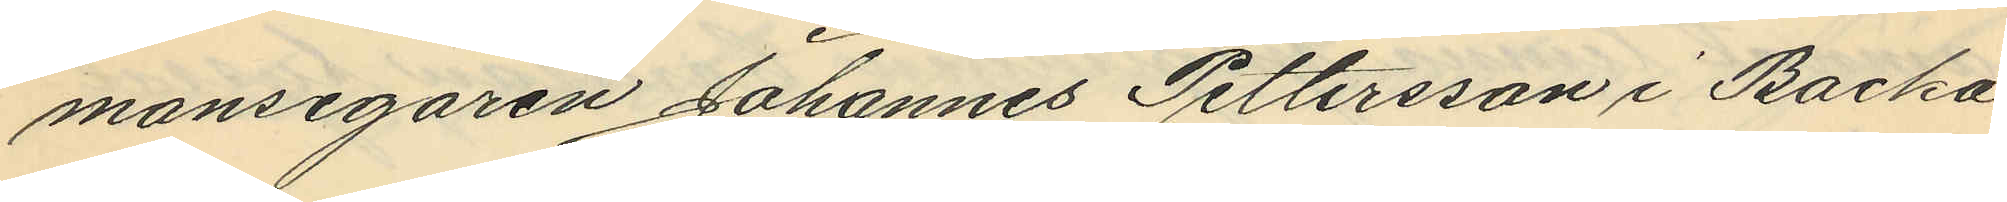mansegaren Johannes Pettersson i Backa
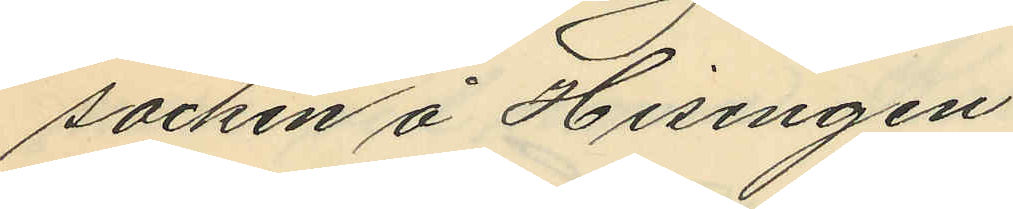socken å Hisingen.
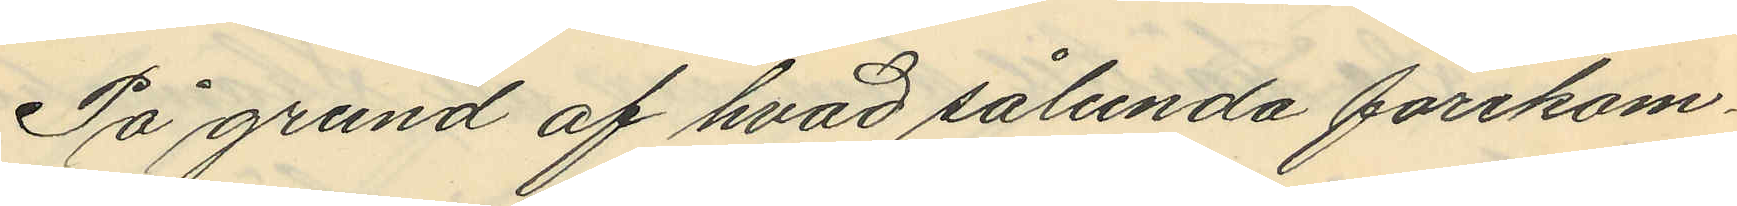På grund af hvad sålunda förekom¬
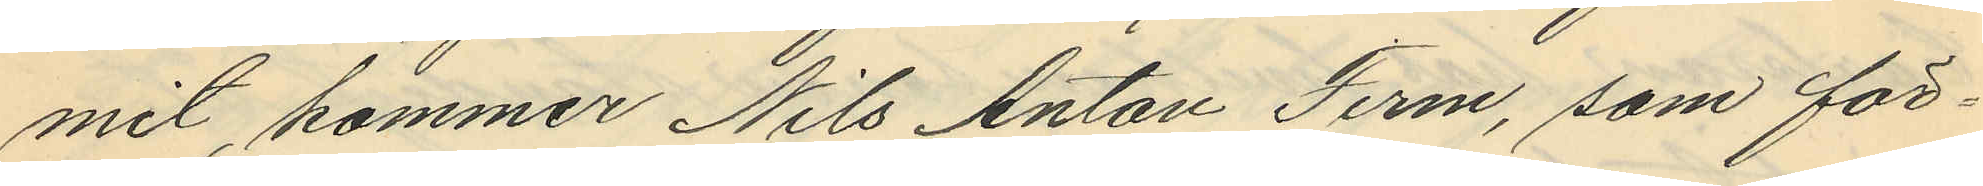mit, kommer Nils Anton Ferm, som för¬
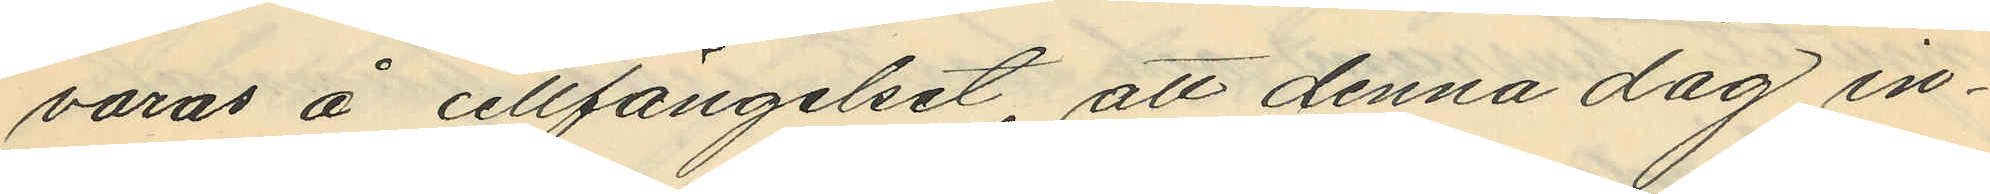varas å cellfängelset, att denna dag in¬
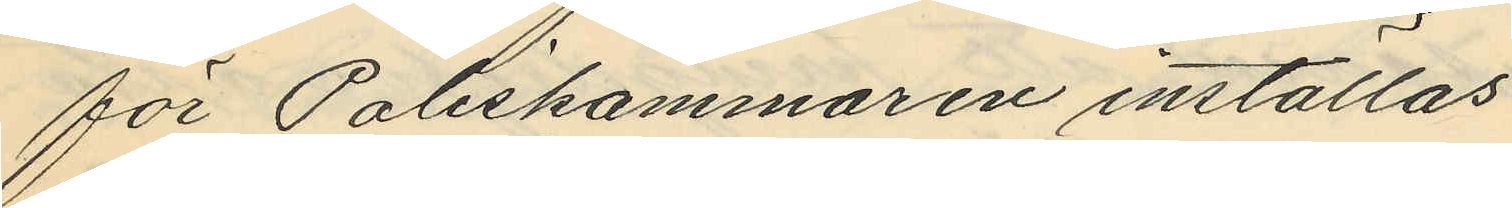för Poliskammaren inställas.
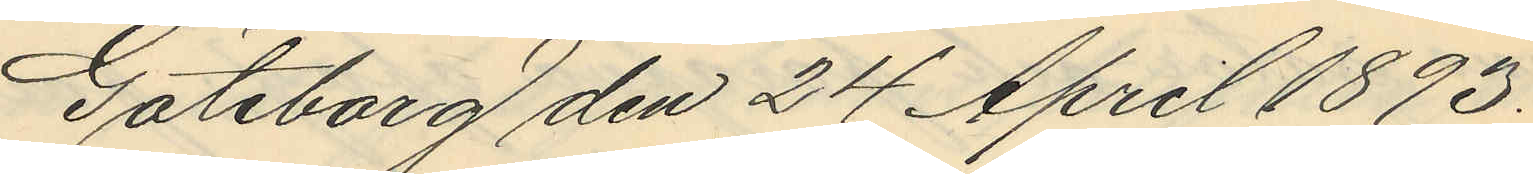Göteborg den 24 April 1893.
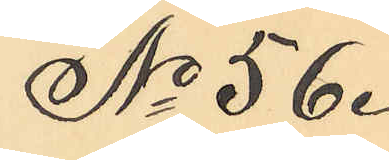No 56.
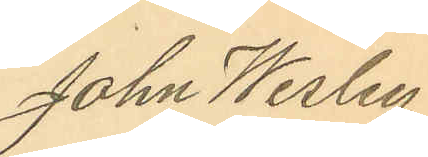John Wesley
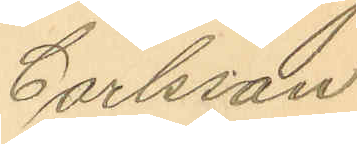Carlsson
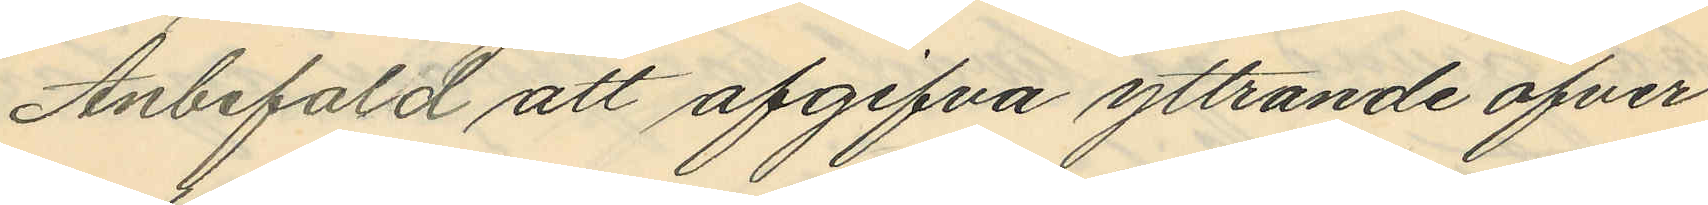Anbefald att afgifva yttrande öfver¬
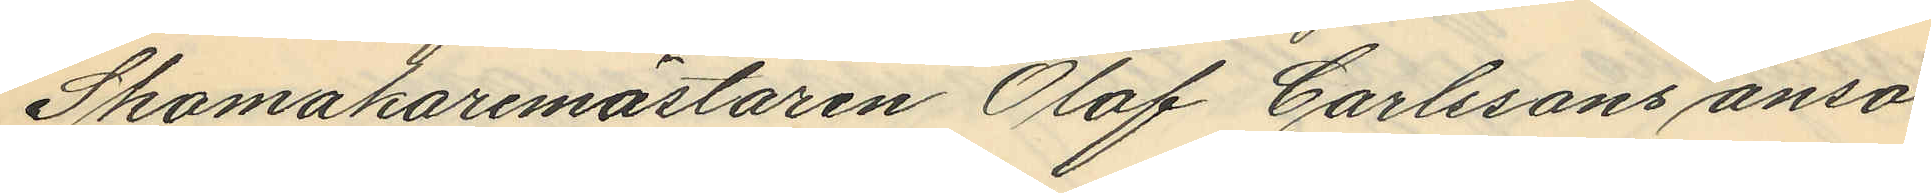Skomakaremästaren Olof Carlssons ansö¬
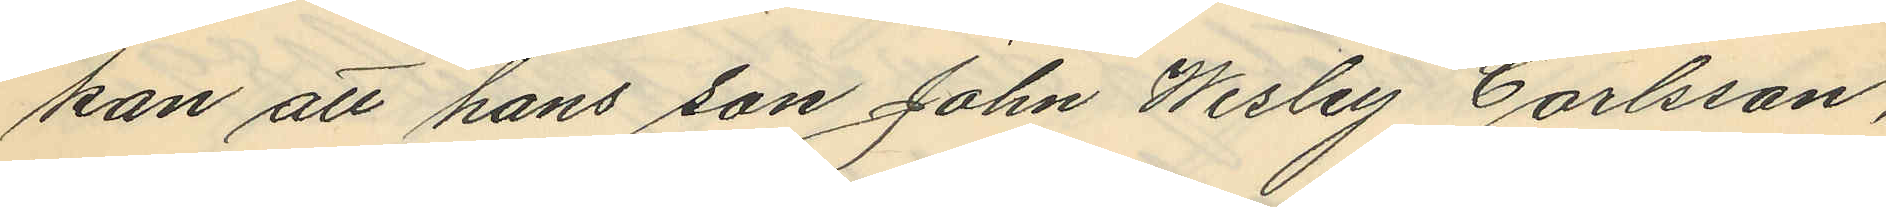kan att hans son John Wesley Carlsson,
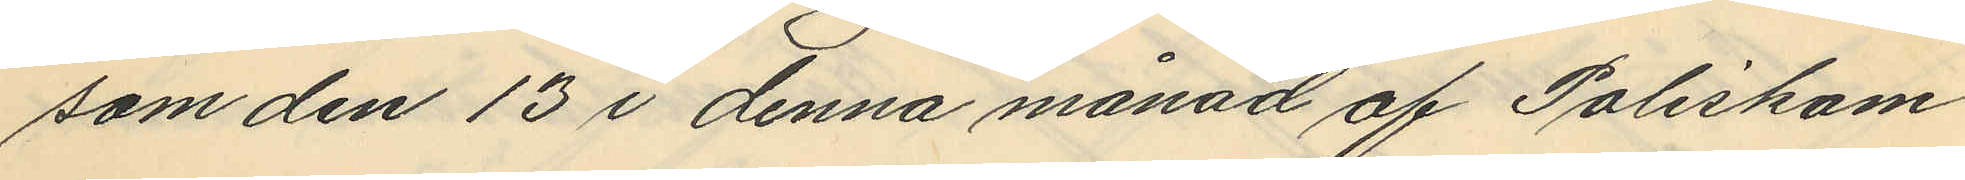som den 13 i denna månad af Poliskam¬
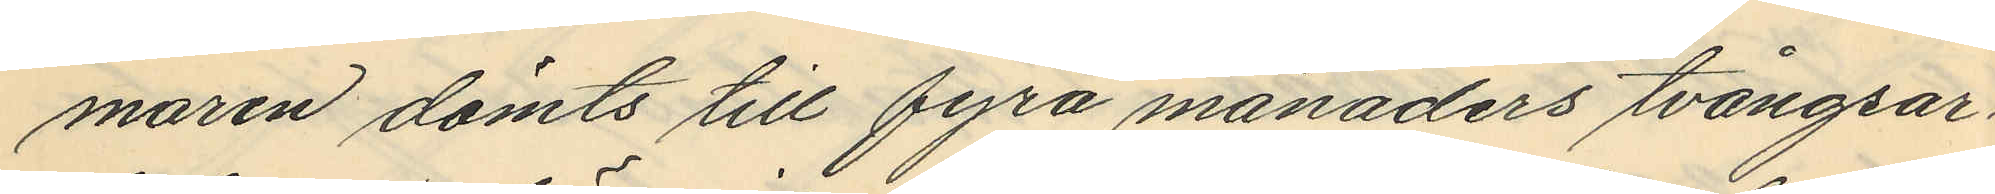maren dömts till fyra månaders tvångsar¬
